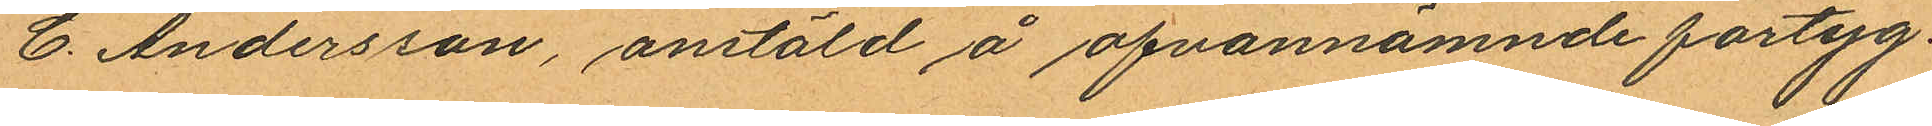C. Andersson, anstäld å ofvannämnde fartyg.
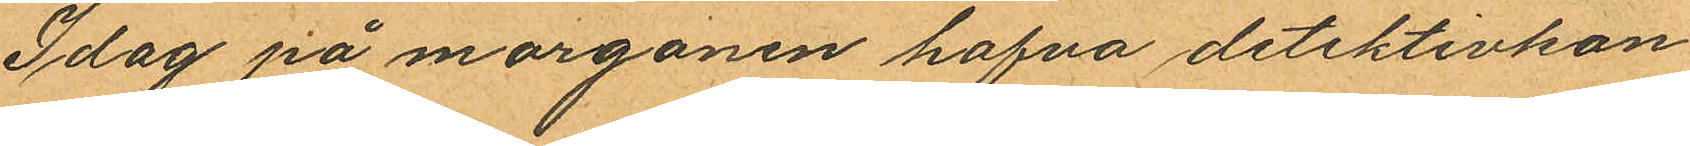Idag på morgonen hafva detektivkon¬
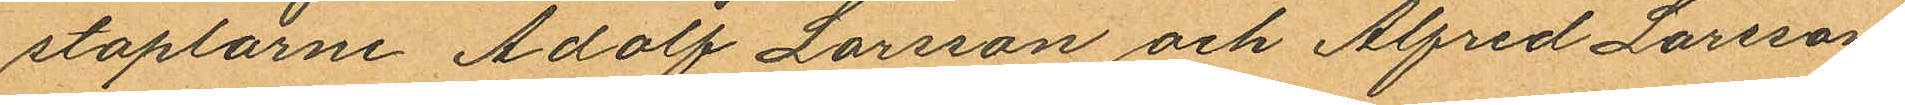staplarne Adolf Larsson och Alfred Larsson
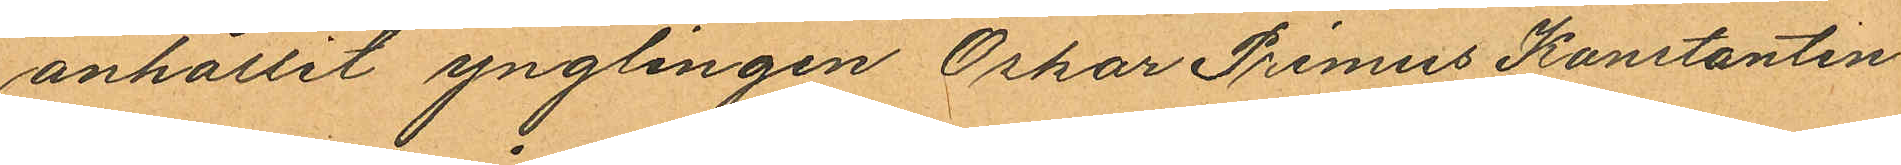anhållit ynglingen Oskar Primus Konstantin
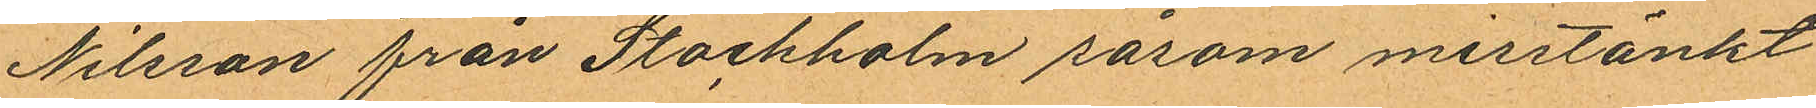Nilsson från Stockholm såsom misstänkt
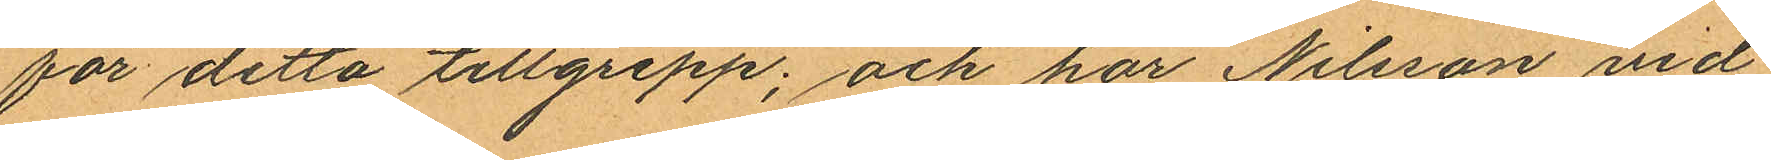för detta tillgrepp; och har Nilsson vid
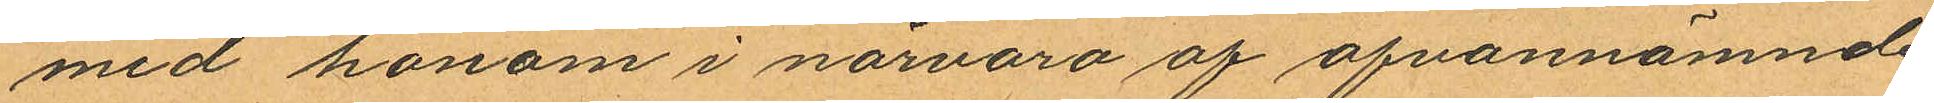med honom i närvaro af ofvannämnde
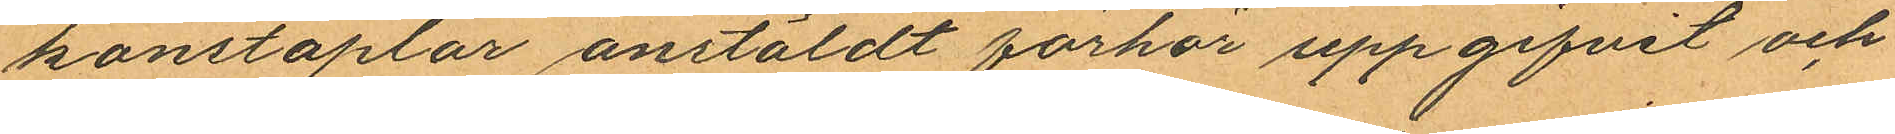konstaplar anstäldt förhör uppgifvit och
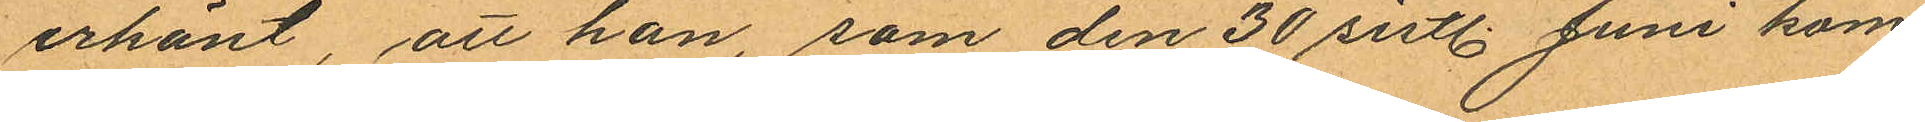erkänt, att han, som den 30 sistl. Juni kom¬
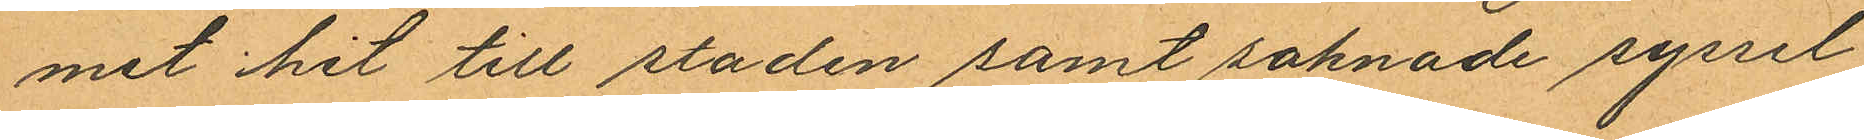mit hit till staden samt saknade syssel¬
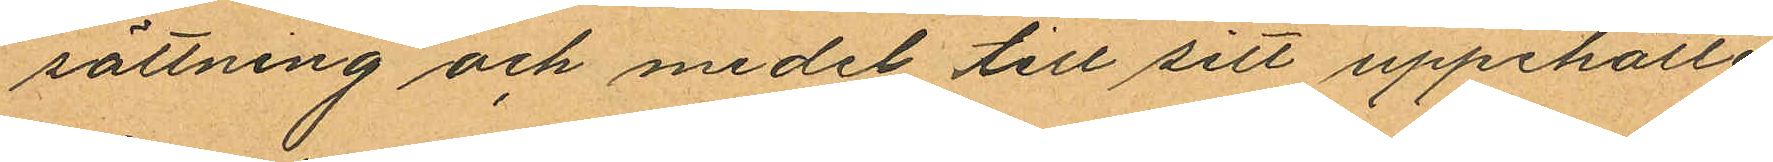sättning och medel till sitt uppehälle
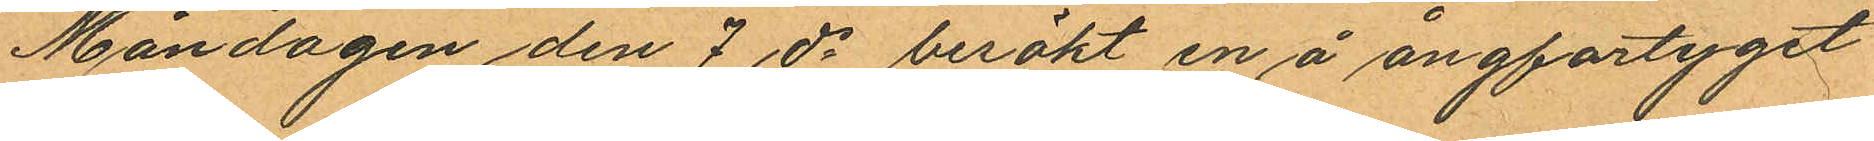Måndagen den 7 ds besökt en å ångfartyget
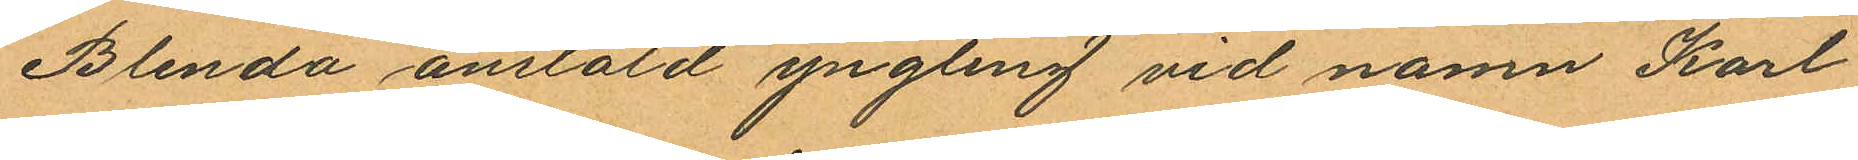Blenda anstäld yngling vid namn Karl
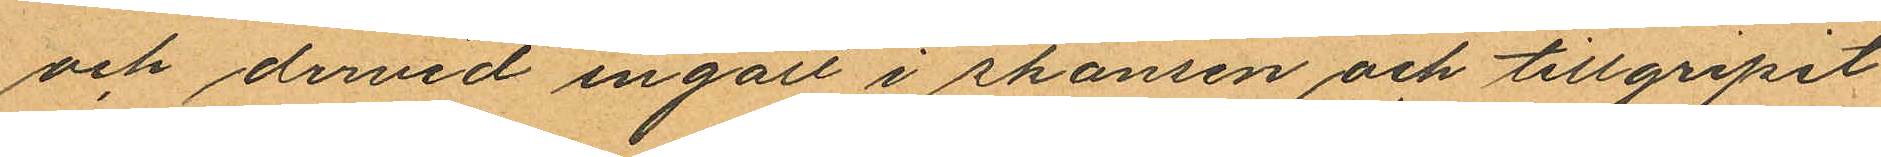och dervid ingått i skansen och tillgripit
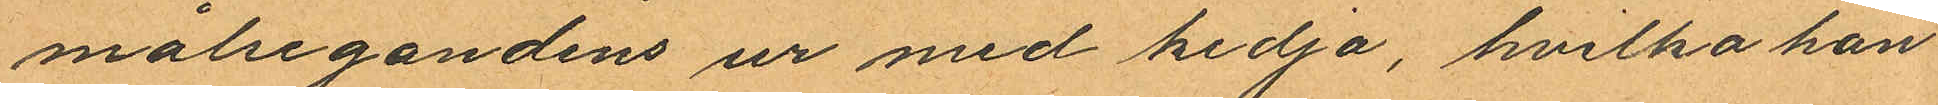målsegandens ur med kedja, hvilka han
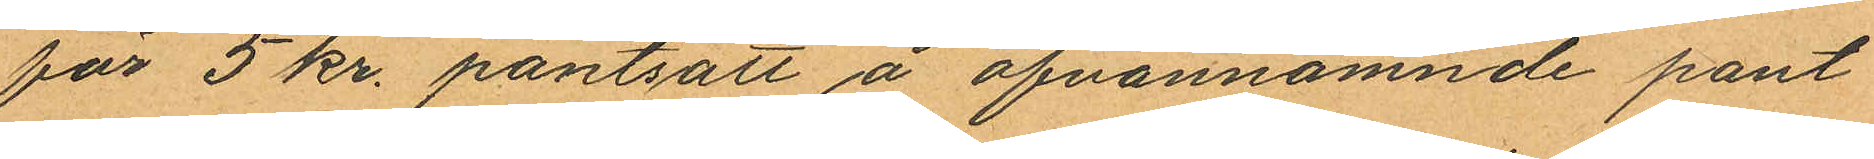för 5 kr. pantsatt å ofvannämnde pant
